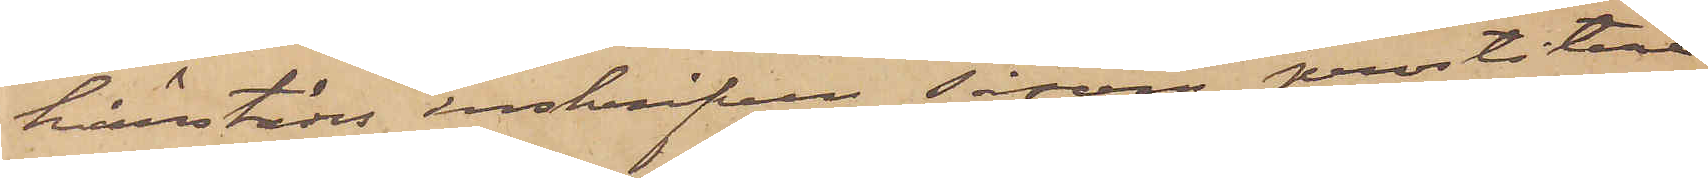härstädes inskrifven såsom prostitue¬
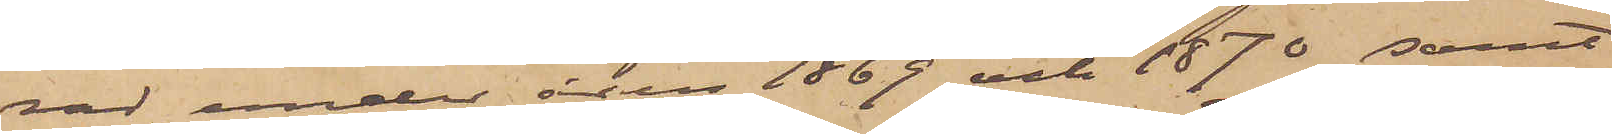rad under den 1869 och 1870 samt
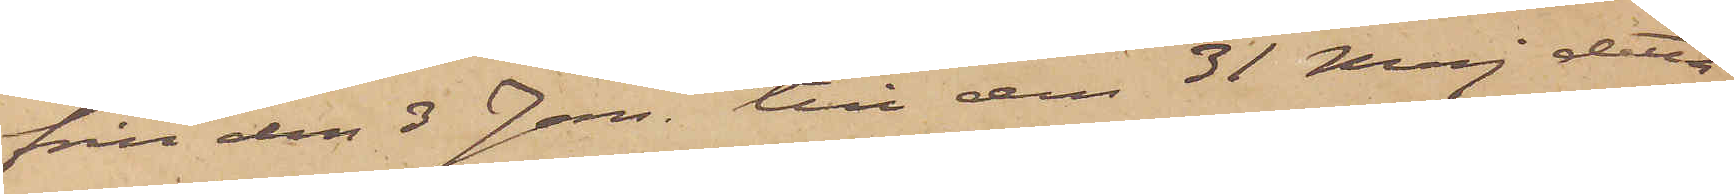från den 3 Jan. till den 31 Maj detta
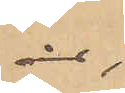år,
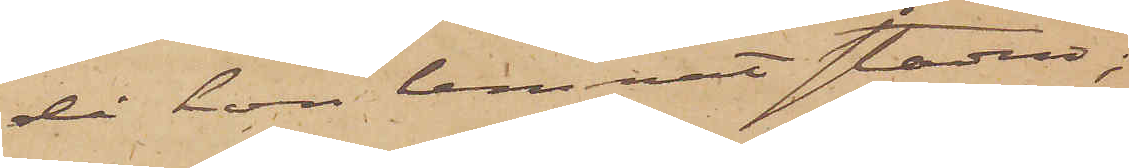då hon lemnat staden;
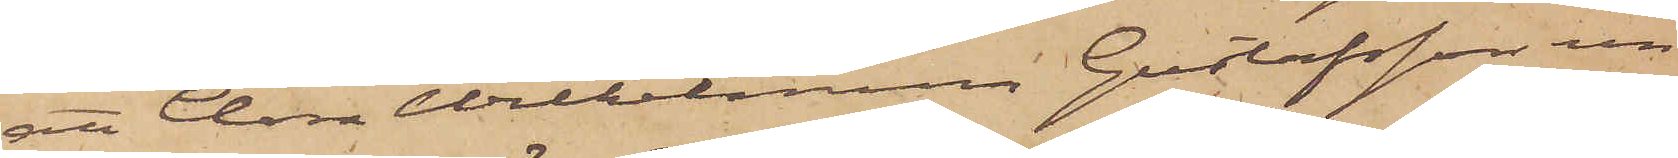att Clara Wilhelmina Gustafsson un¬
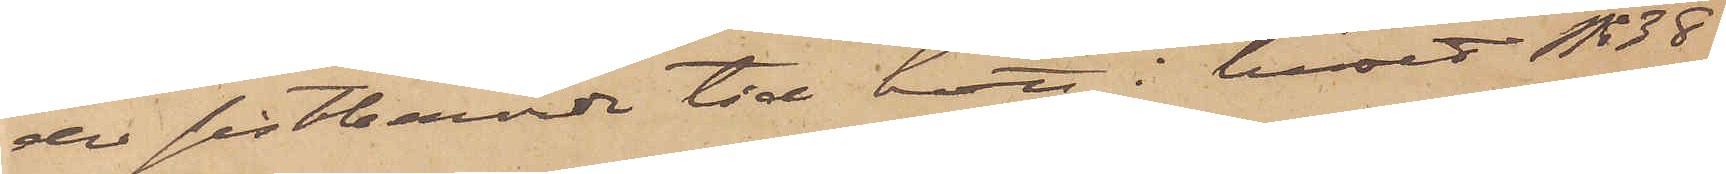der sistberörde tid bott i huset No 38
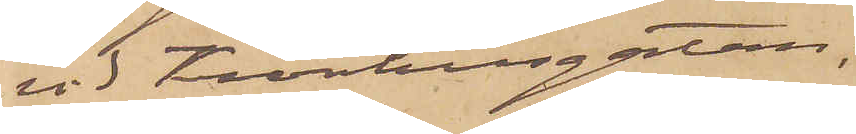vid Kronhusgatan,
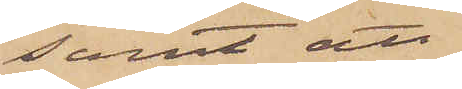samt att
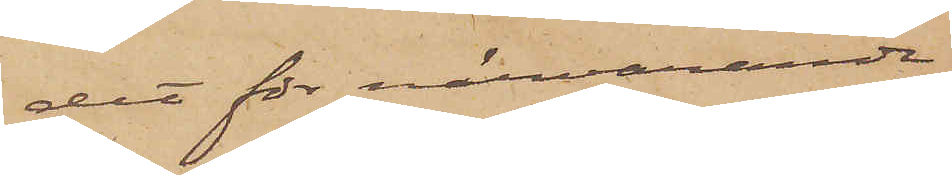det för närvarande
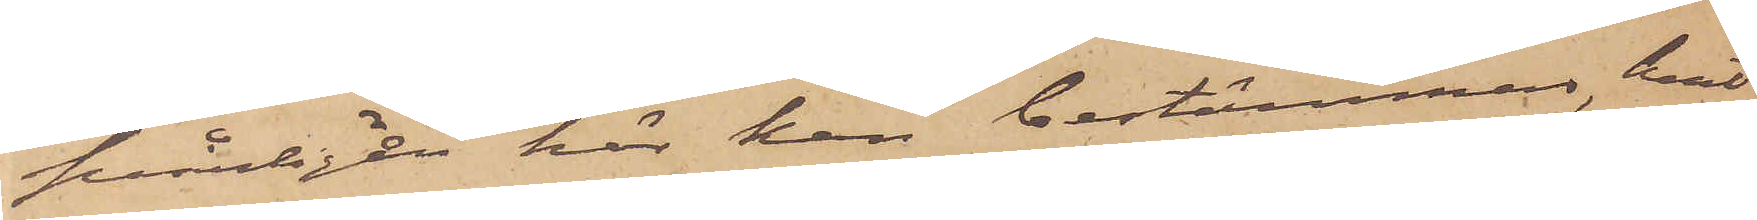svårligen här kan bestämmas, hvil¬
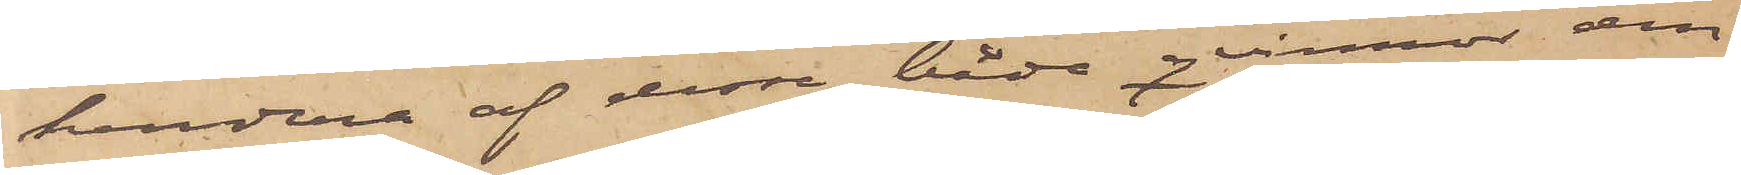kendera af dessa båda qvinnor den
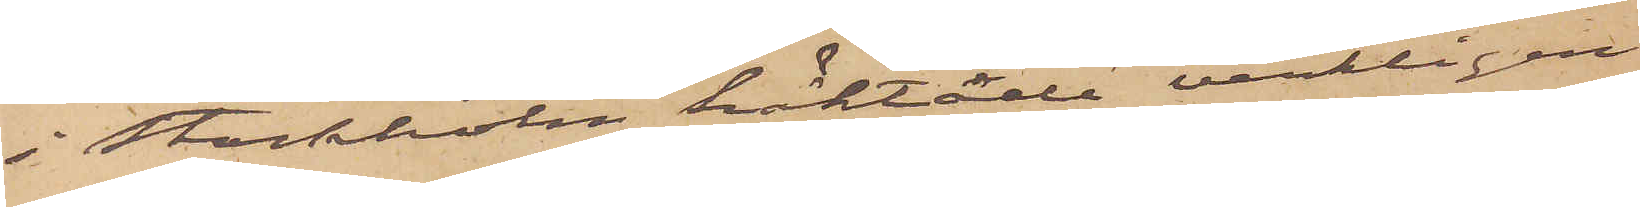i Stockholm häktade verkligen
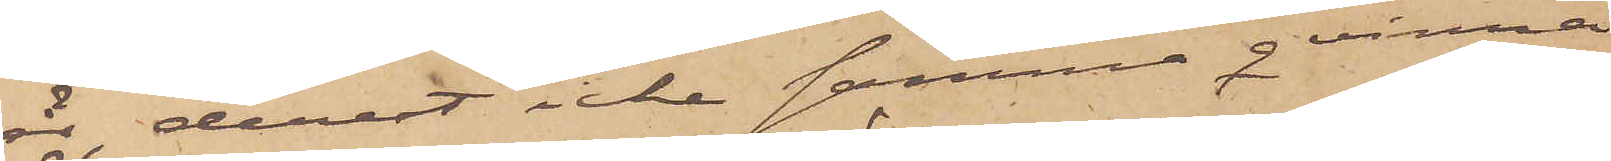är, derest icke samma qvinna
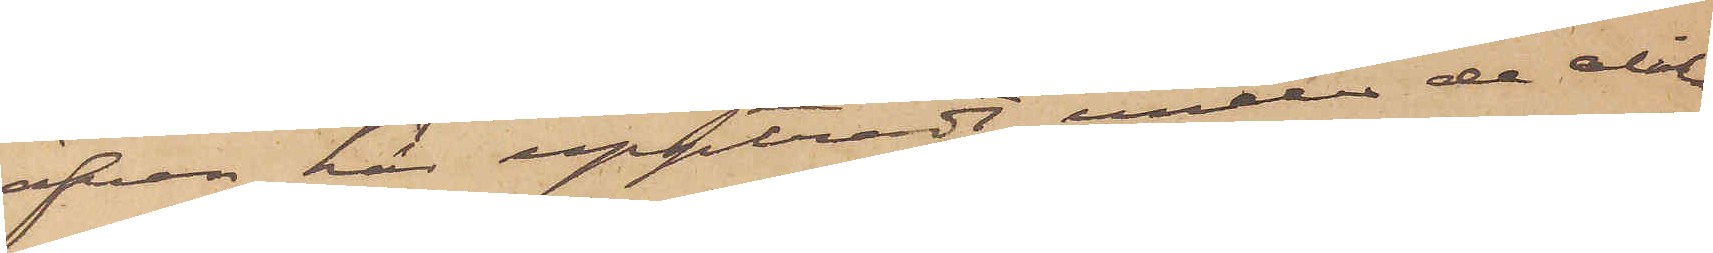äfven här uppträdt under de olika
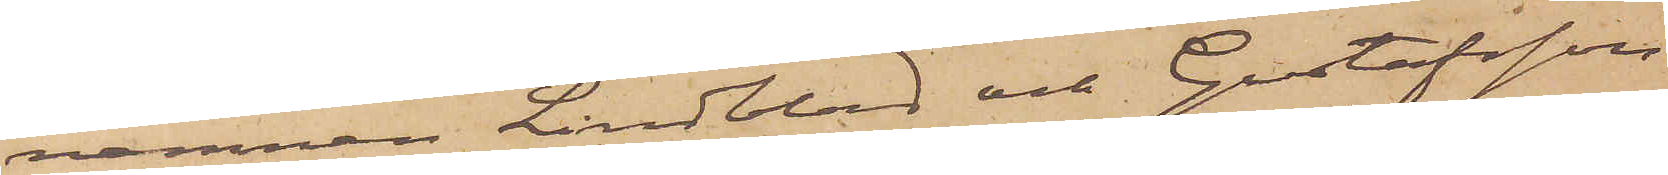namnen Lindblad och Gustafsson
